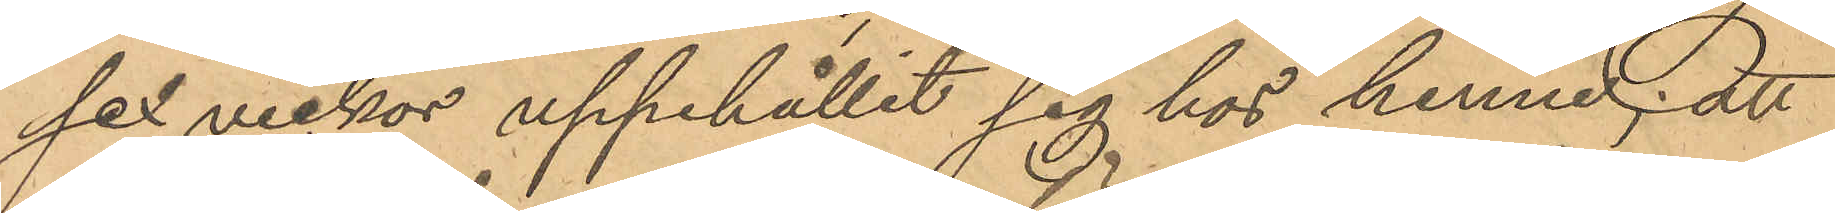sex veckor uppehållit sig hos henne; att
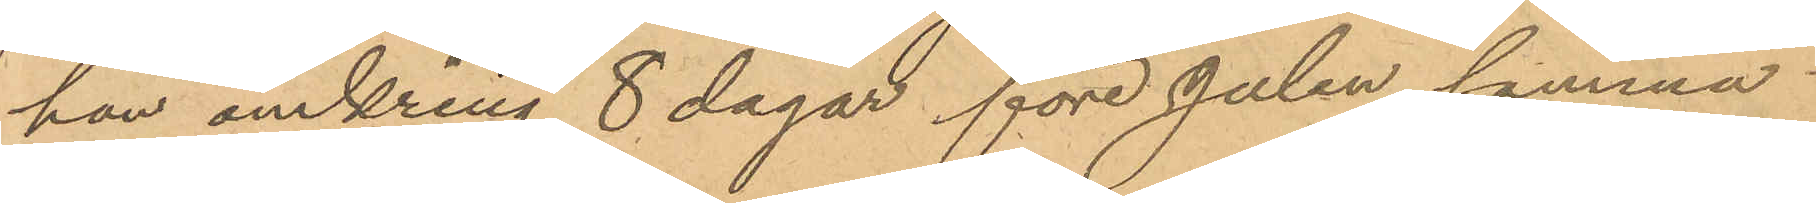han omkring 8 dagar före Julen samma
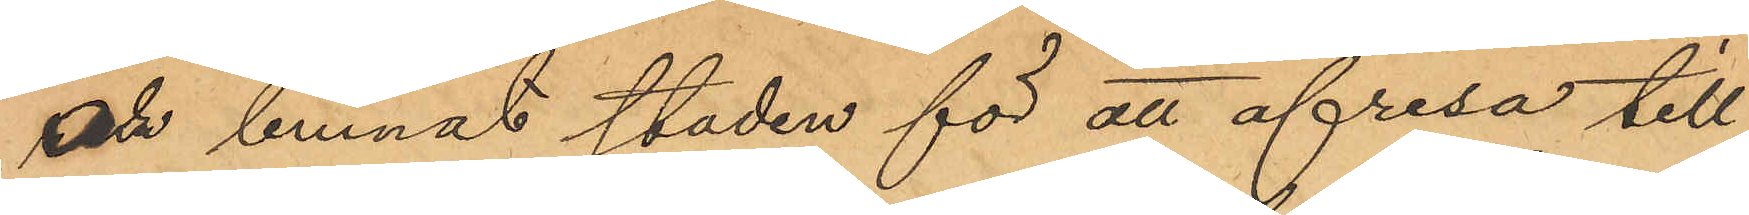år lemnat staden för att afresa till
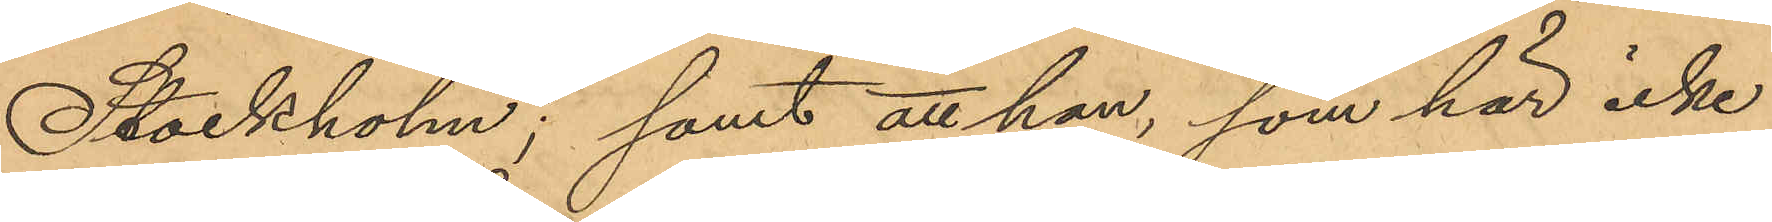Stockholm; samt att han, som här icke
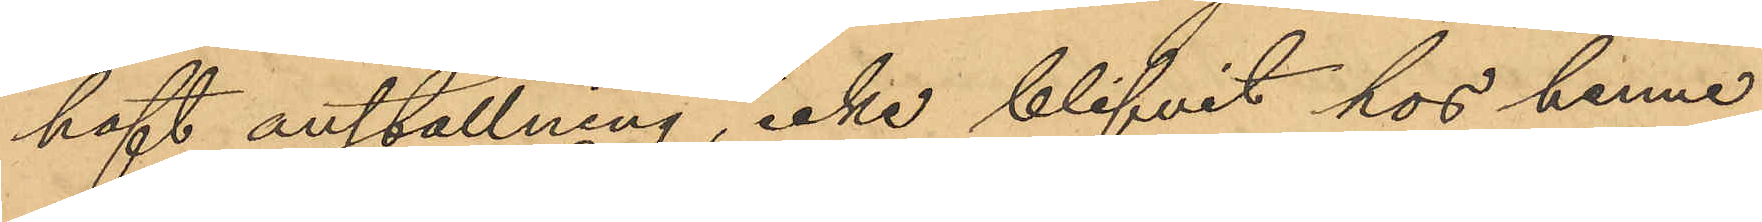haft anställning, icke blifvit hos henne
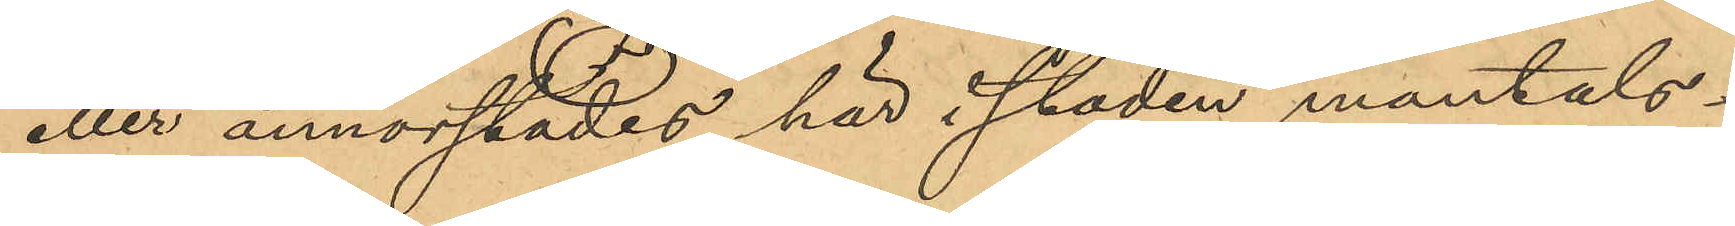eller annorstädes här i staden mantals¬
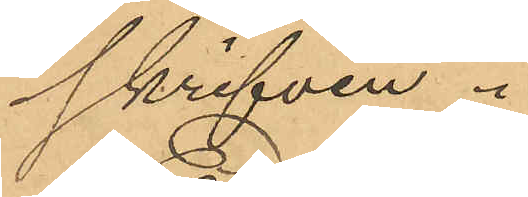skrifven.
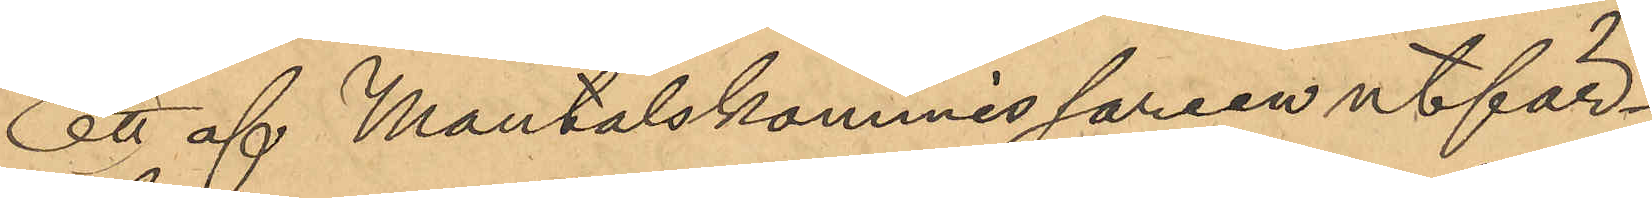Ett af Mantalskommissarien utfär¬
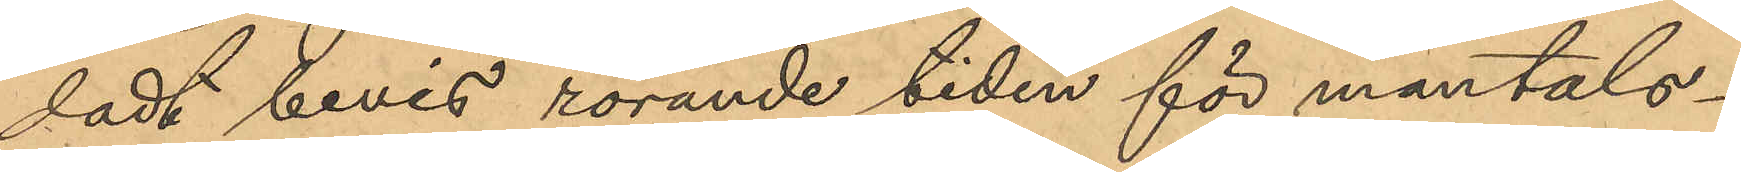dadt bevis rörande tiden för mantals¬
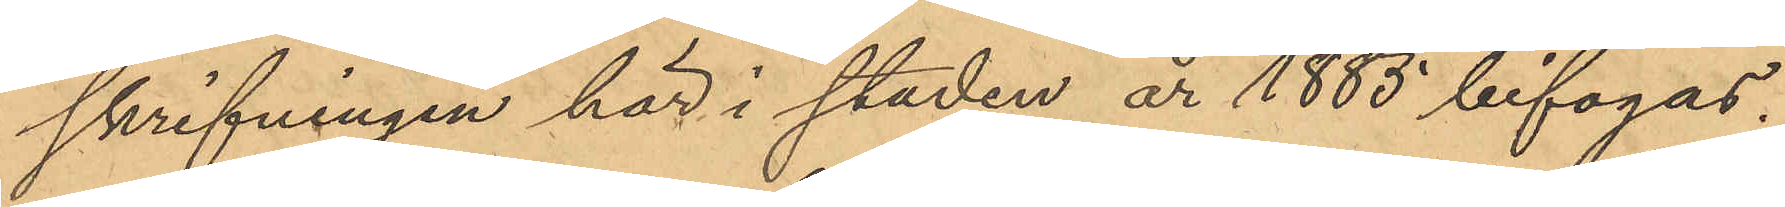skrifningen här i staden år 1885 bifogas.
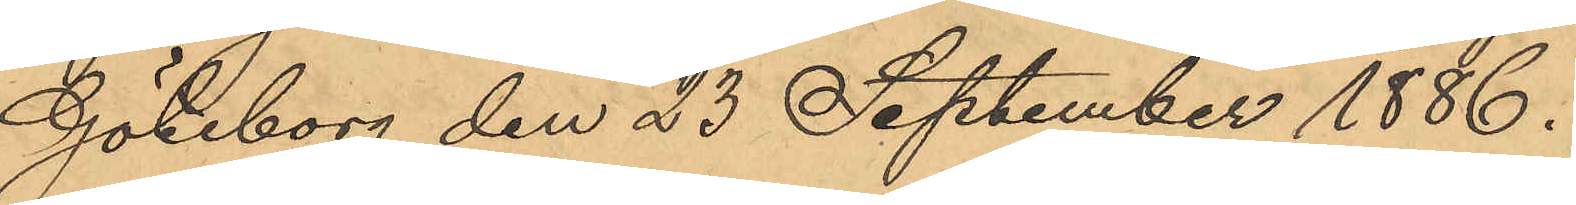Göteborg den 23 September 1886.
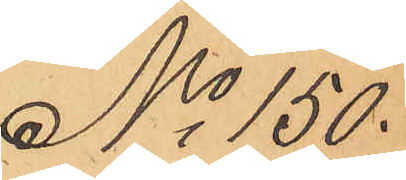No 150.
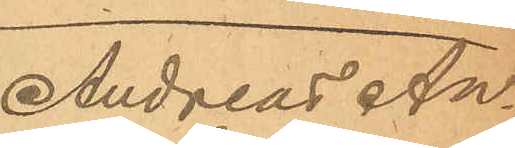Andreas An¬
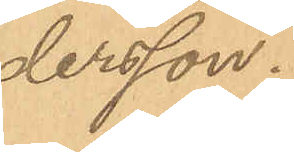dersson.
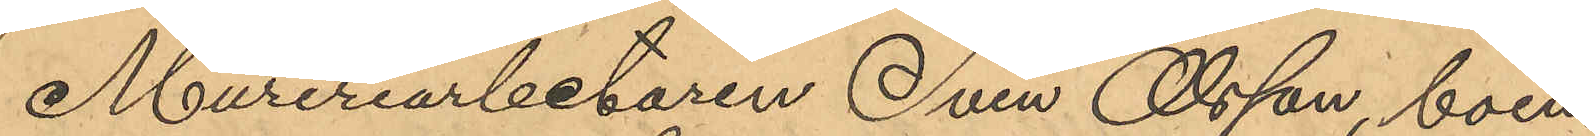Mureriarbetaren Sven Olsson, boen¬
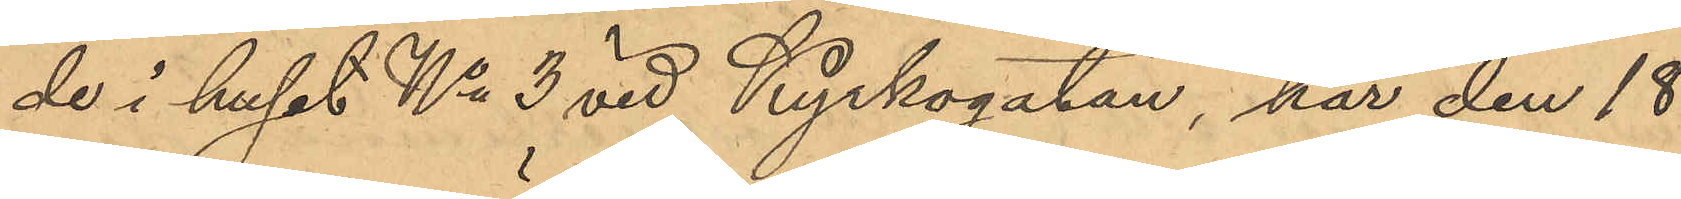de i huset No 3 vid Kyrkogatan, har den 18
